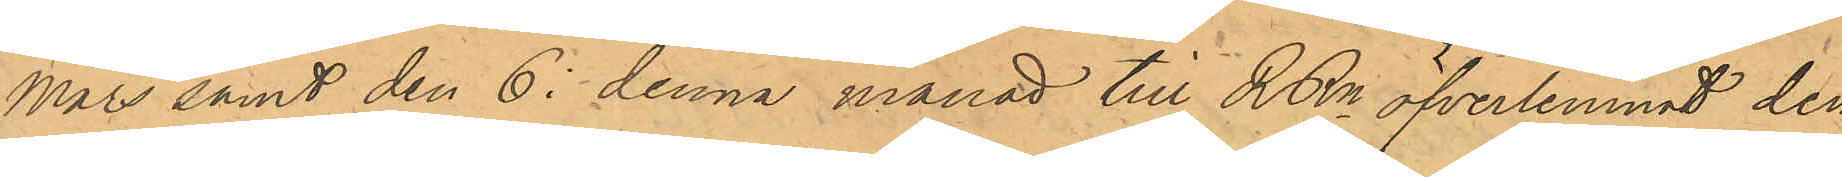Mars samt den 6. denna månad till RRn öfverlemnat den
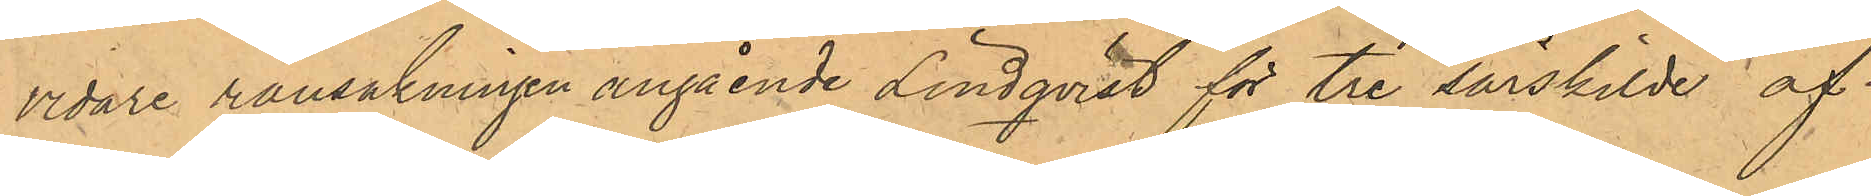vidare ransakningen angående Lindqvist för tre särskilde af
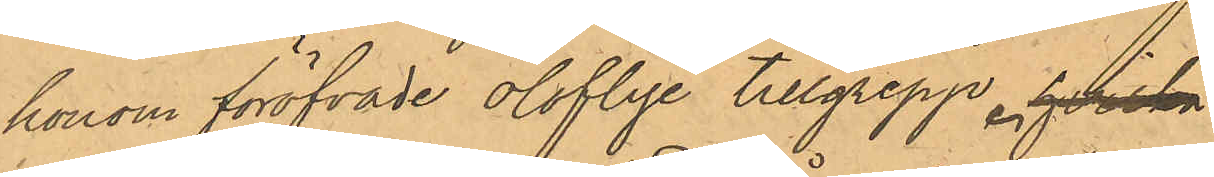honom föröfvade oloflige tillgrepp. hvilka
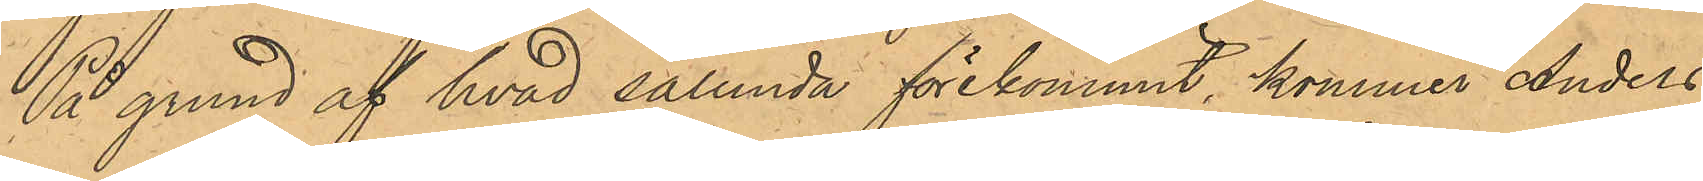På grund af hvad sålunda förekommit, kommer Anders
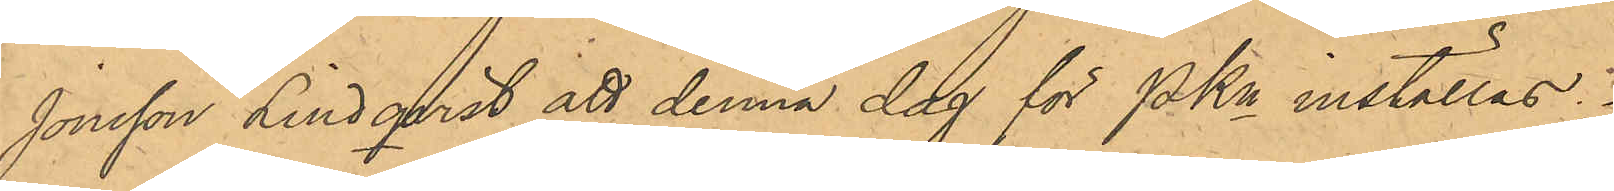Jonsson Lindqvist att denna dag för PKn inställas.
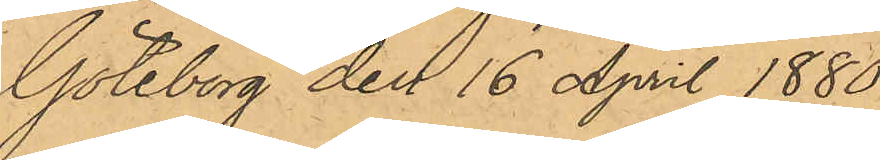Göteborg den 16 April 1880.
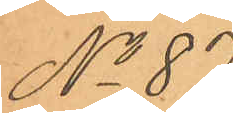No 87.
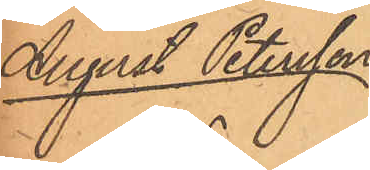August Petersson
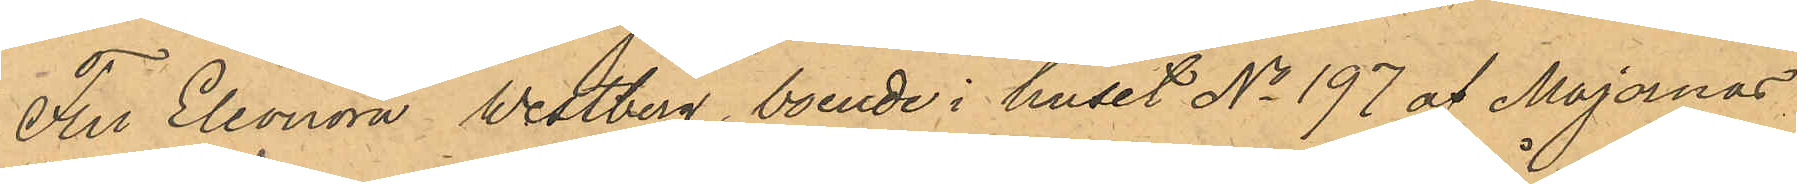Fru Eleonora Westberg, boende i huset No 197 af Majornas
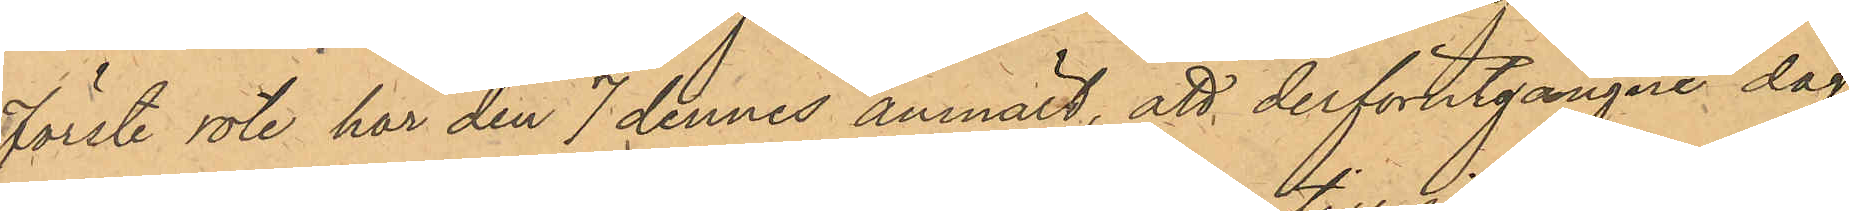Förste rote har den 7 dennes anmält, att derförutgångne dag
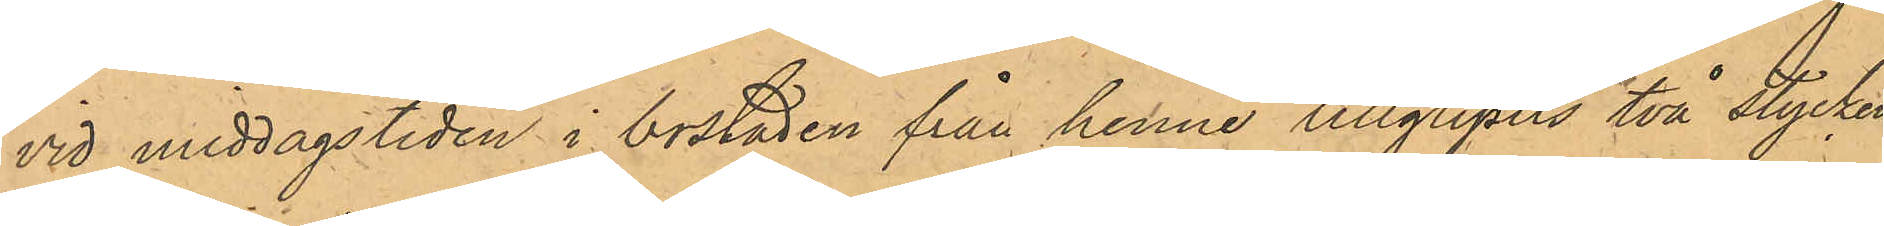vid middagstiden i bostaden från henne tillgripits två stycken
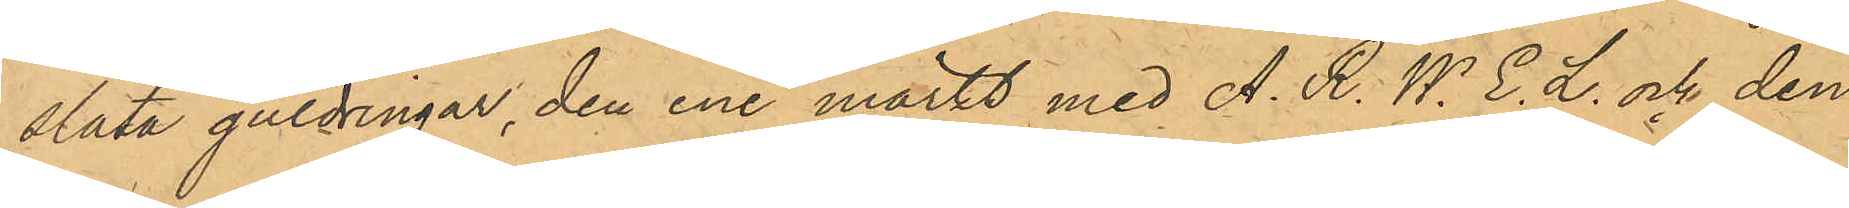släta guldringar, den ende märkt med A. R. W. E. L. och den
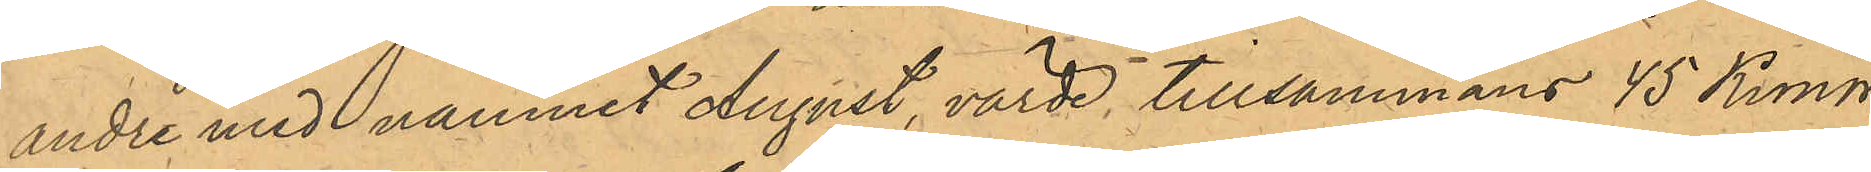andre med namnet August, värde tillsammans 45 Kronor
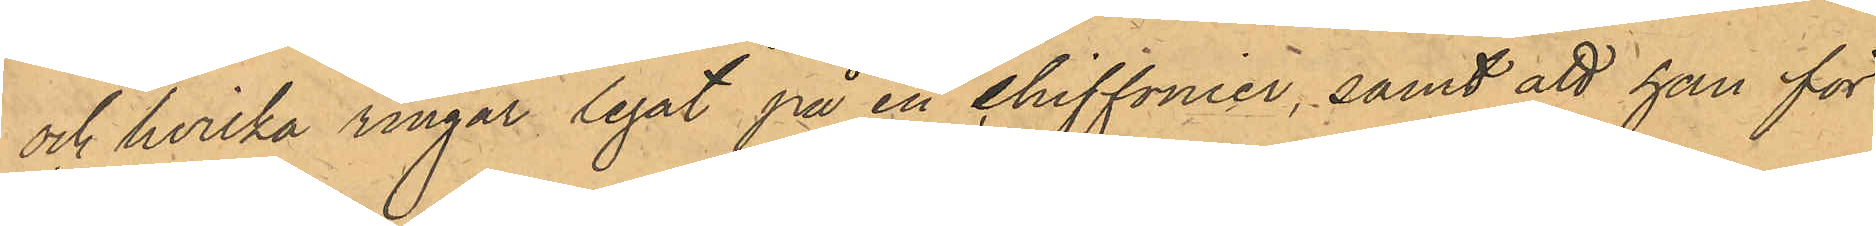och hvilka ringar legat på en chiffonier, samt att hon för
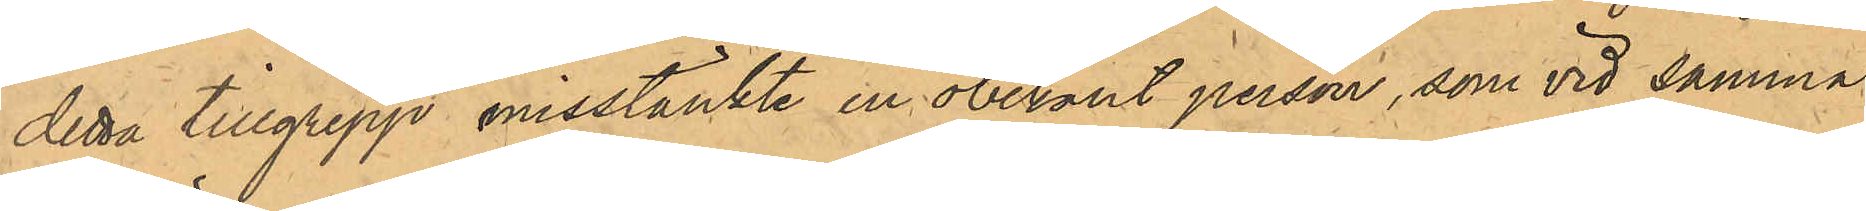dessa tillgrepp misstänkte en obekant person, som vid samma
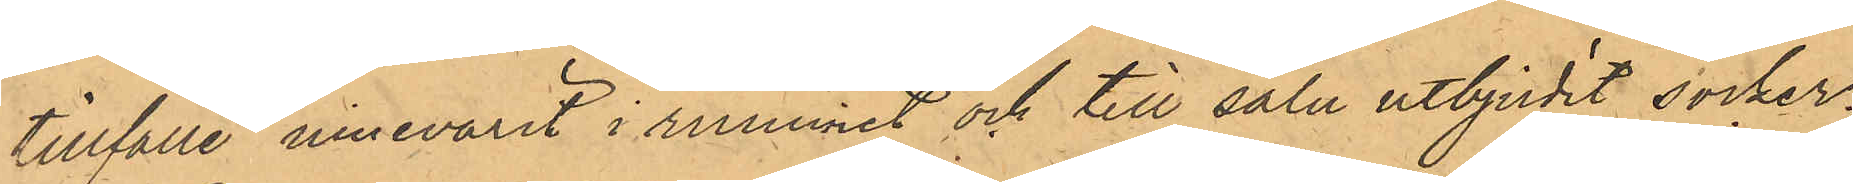tillfälle innevarit i rummet och till salu utbjudit socker.
